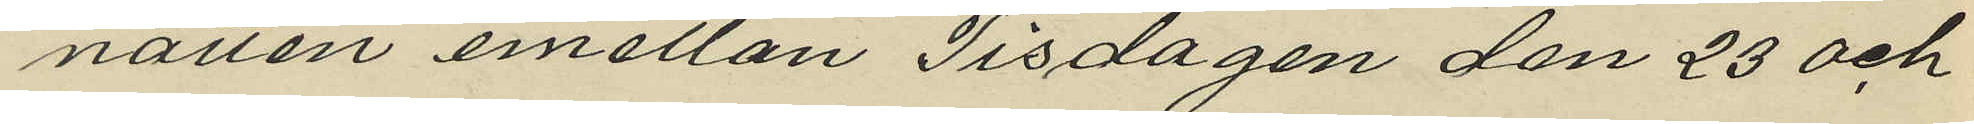natten emellan Tisdagen den 23 och
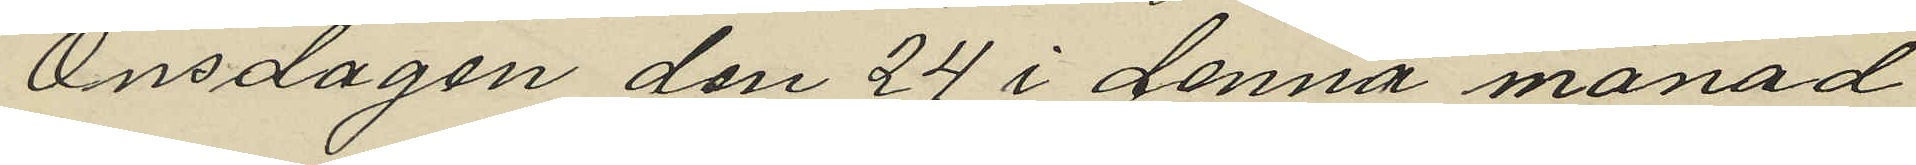Onsdagen den 24 i denna månad
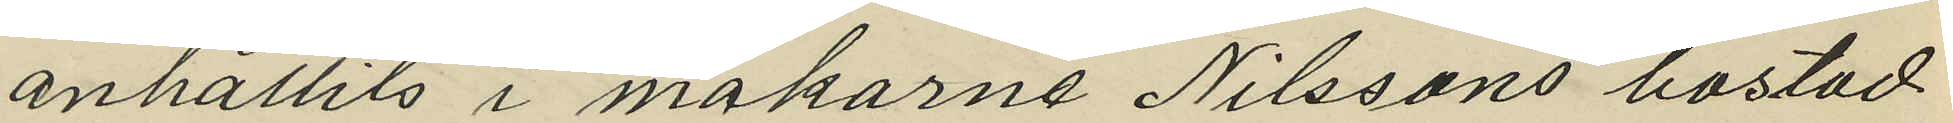anhållits i makarne Nilssons bostad
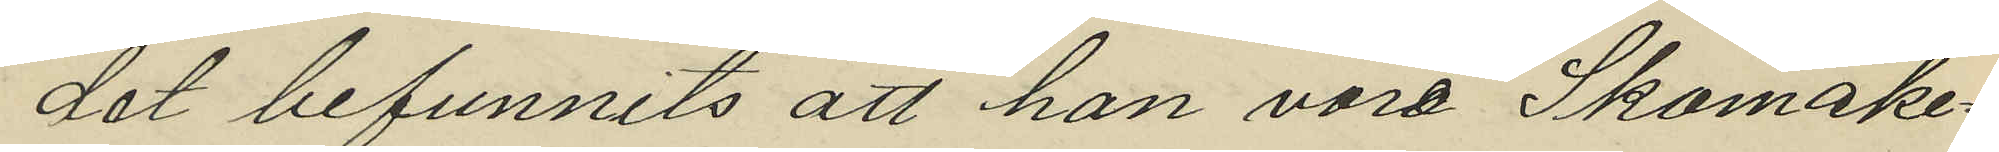det befunnits att han vore Skomake¬
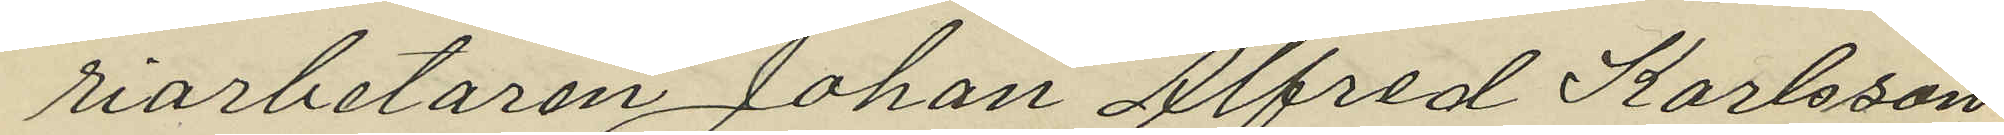riarbetaren Johan Alfred Karlsson
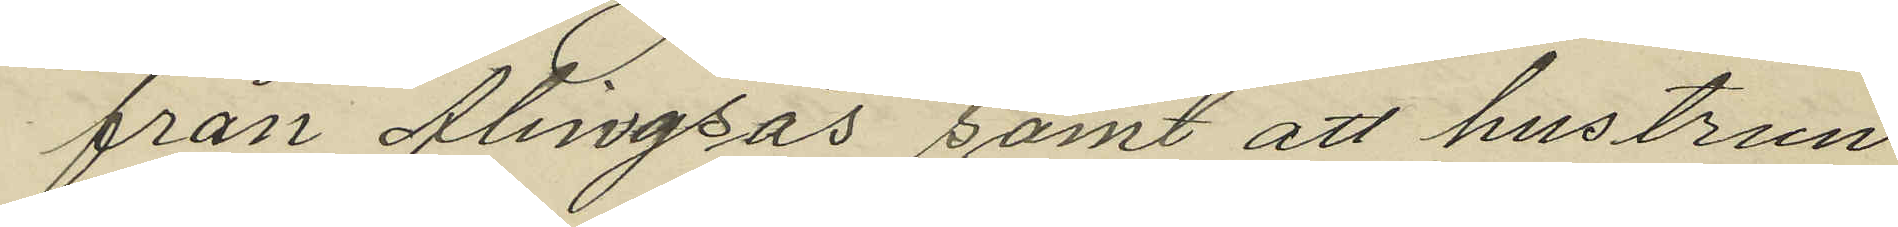från Alingsås samt att hustrun
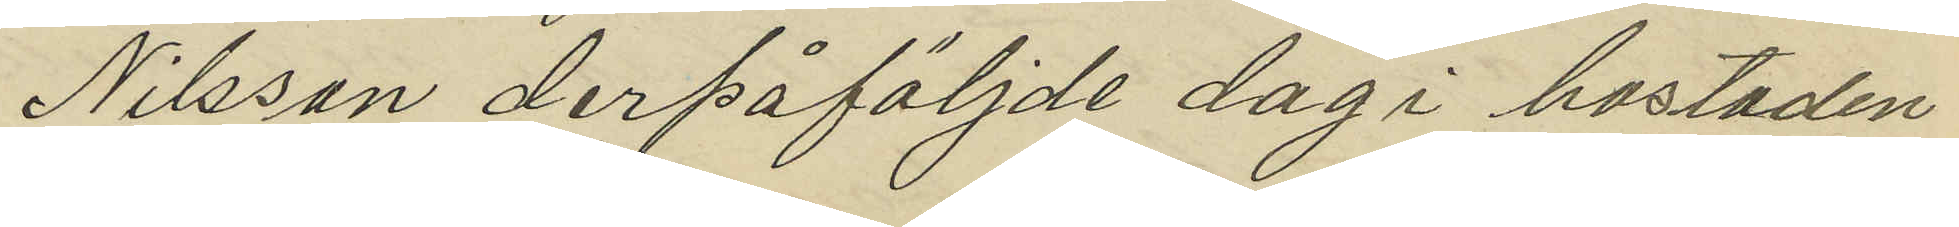Nilsson derpåföljde dag i bostaden
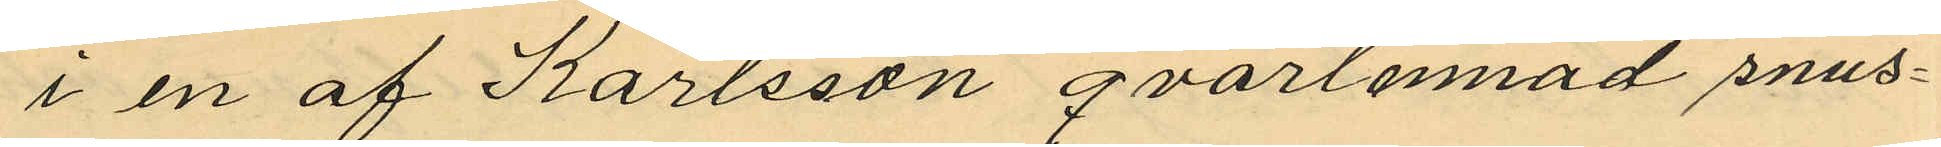i en af Karlsson qvarlemnad snus¬
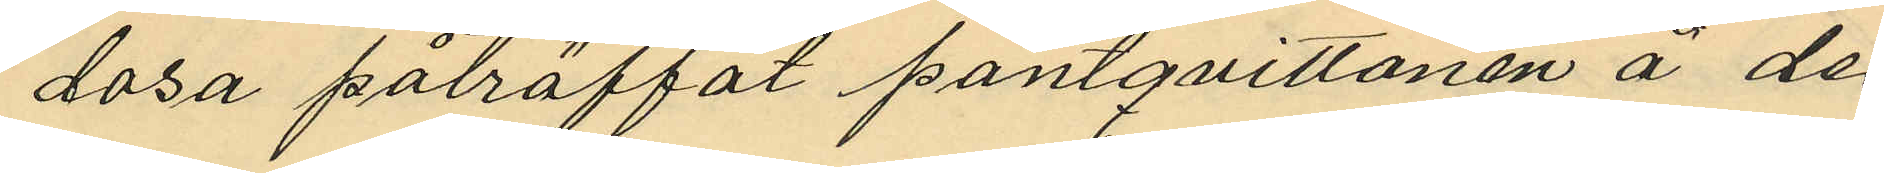dosa påträffat pantqvittonen å de
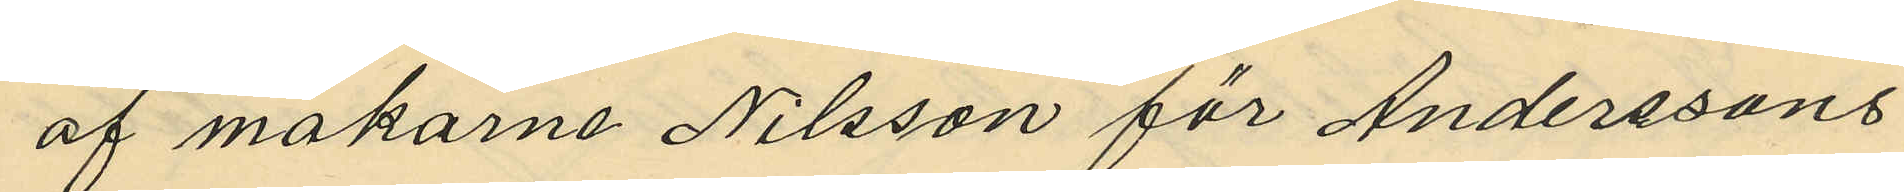af makarne Nilsson för Anderssons
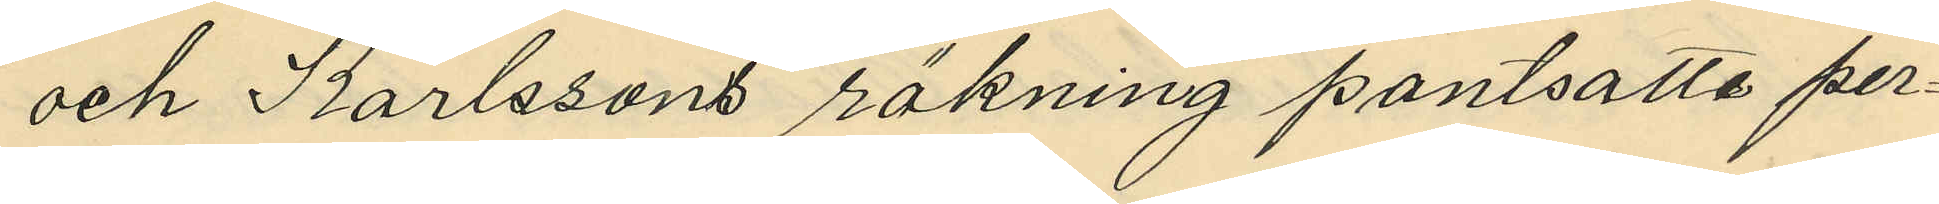och Karlssons räkning pantsatta per¬
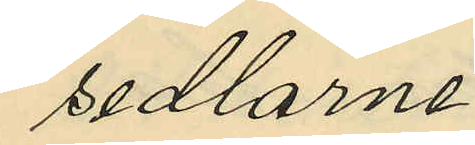sedlarne.
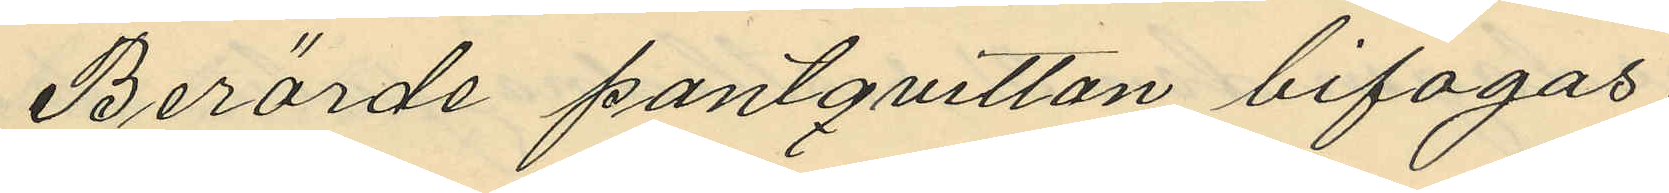Berörde pantquitton bifogas.
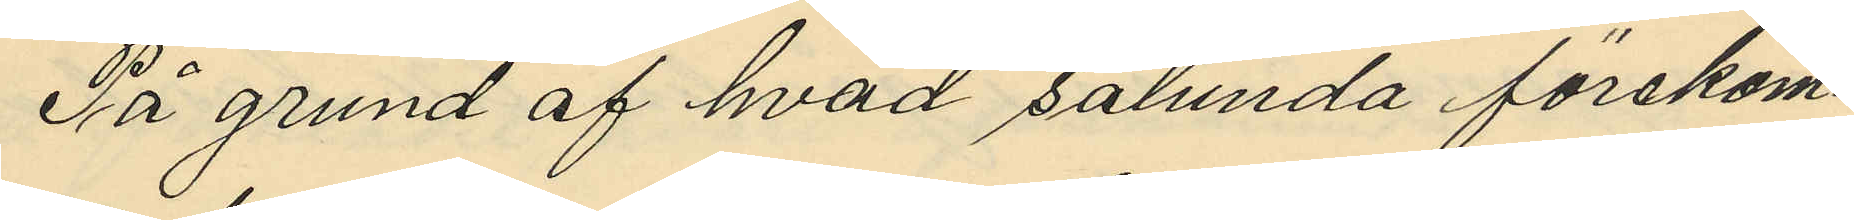På grund af hvad sålunda förekom¬
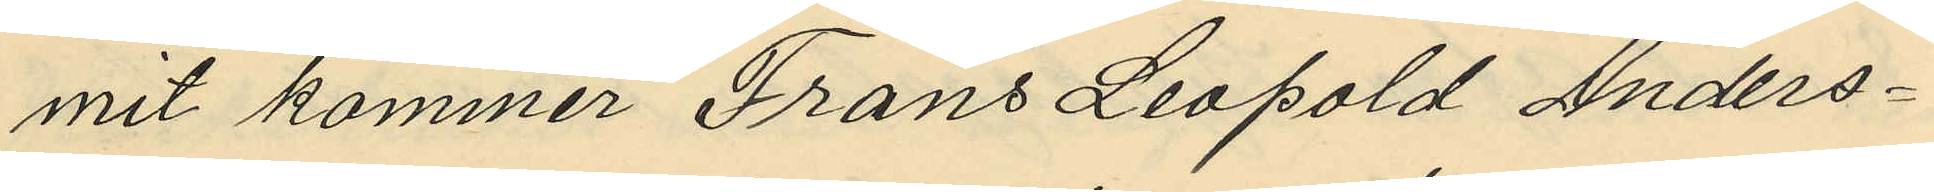mit kommer Frans Leopold Anders¬
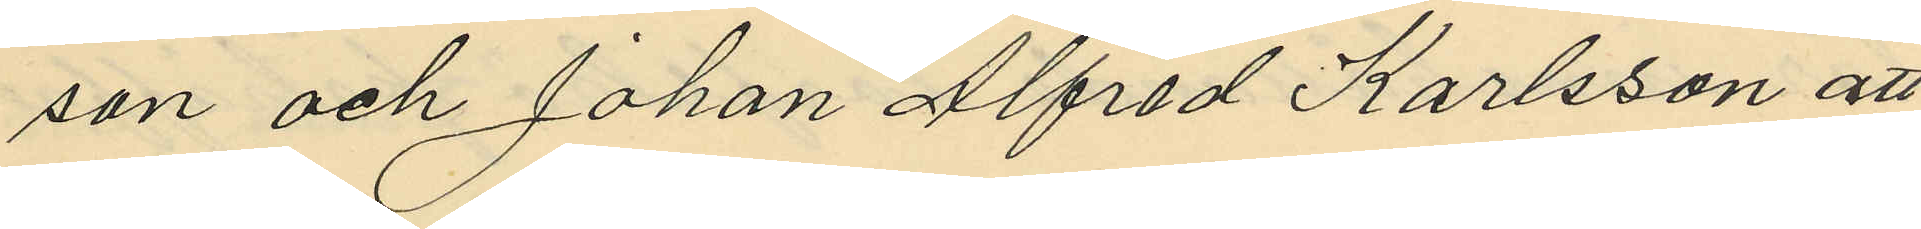son och Johan Alfred Karlsson att
